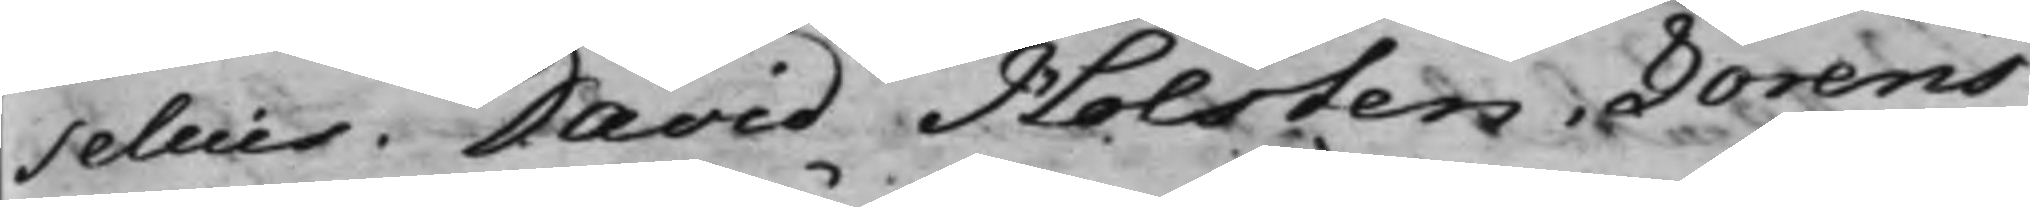selius. David Holsten. Lorens
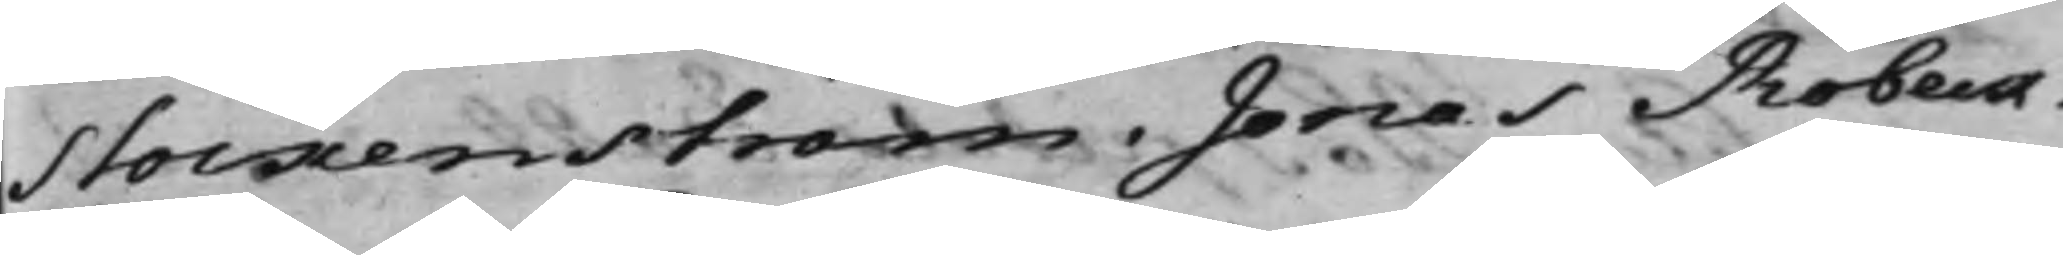Stockenström. Jonas Robeck.
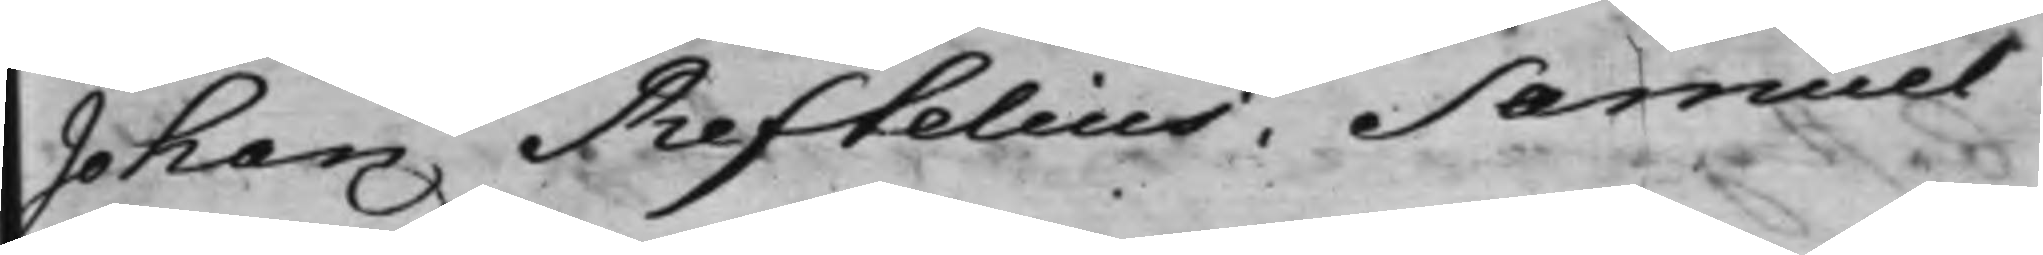Johan Reftelius. Samuel¬
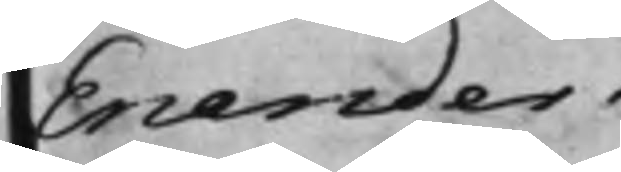Enander.
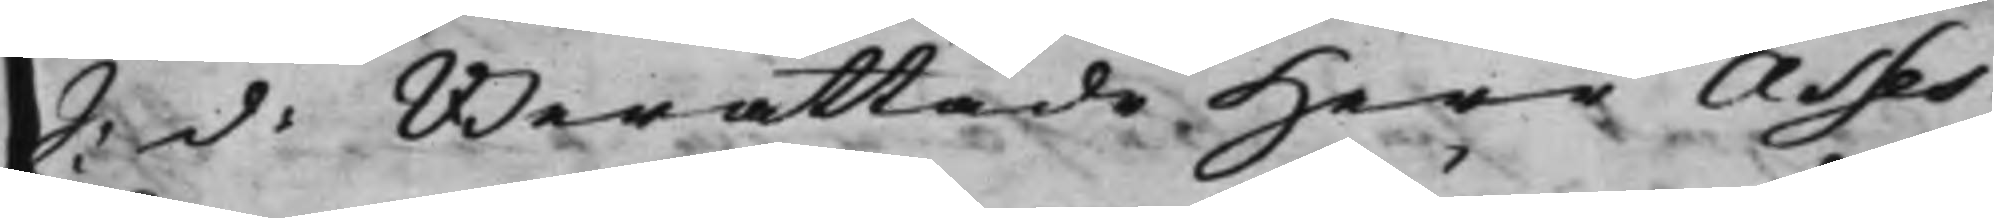S: d: Berättade Herr Asses¬
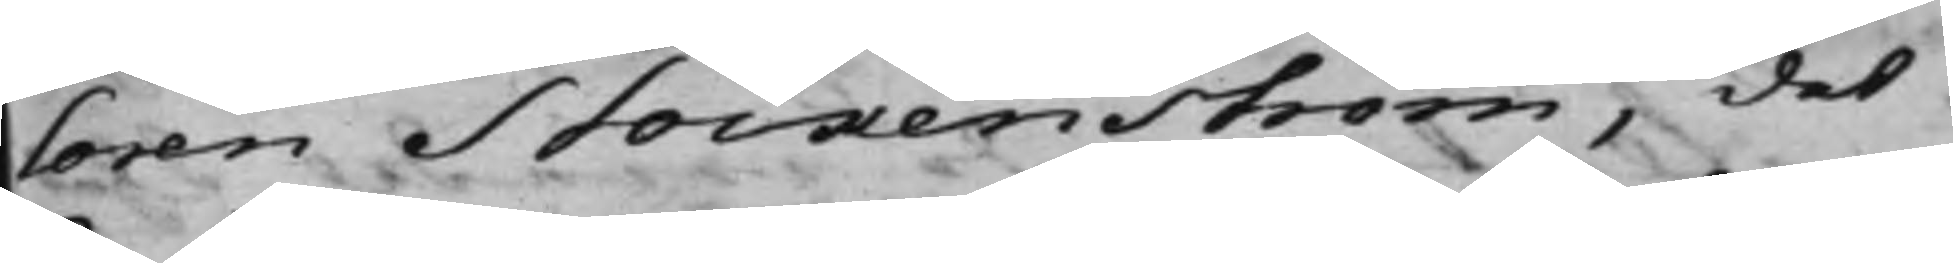soren Stockenström, det
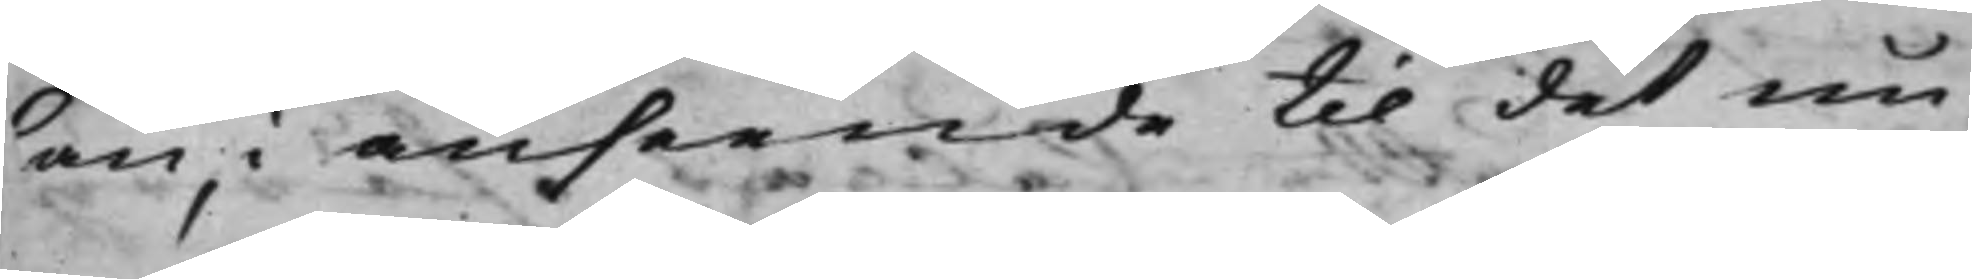an i anseende til det nu
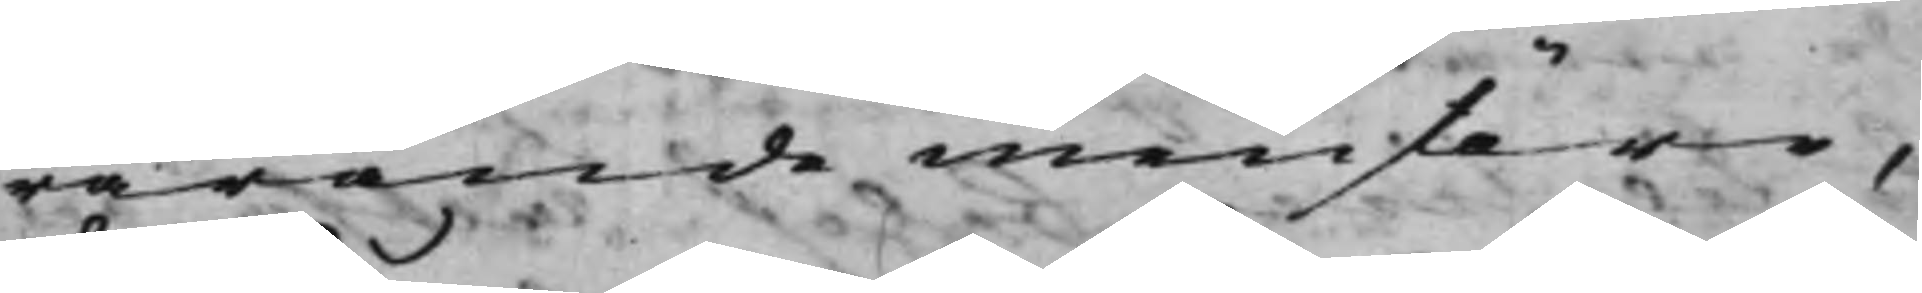warande menstäre,
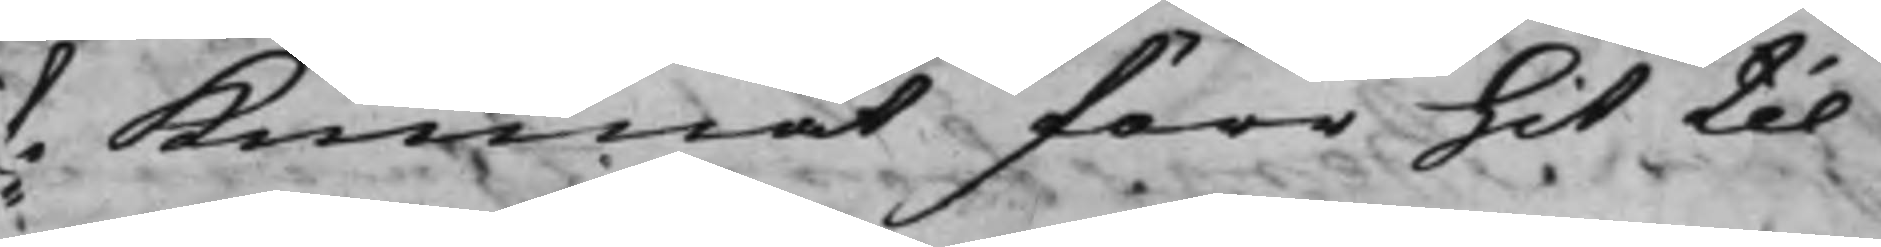te Kunnat förr hit til
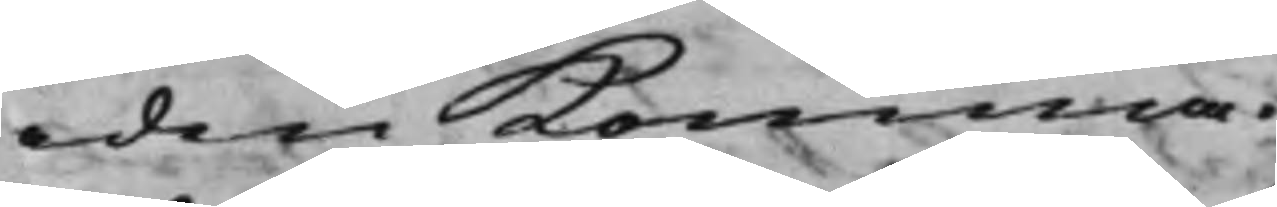aden Komma.
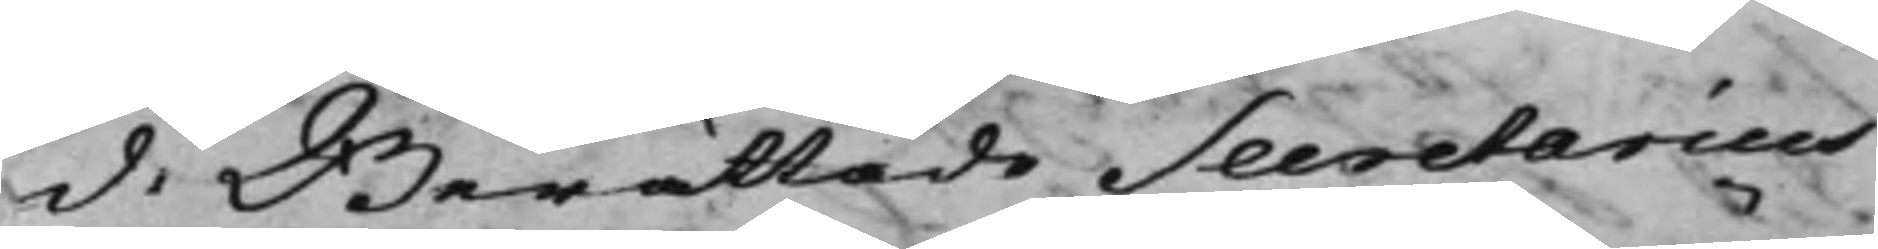d: Berättade Secretarius
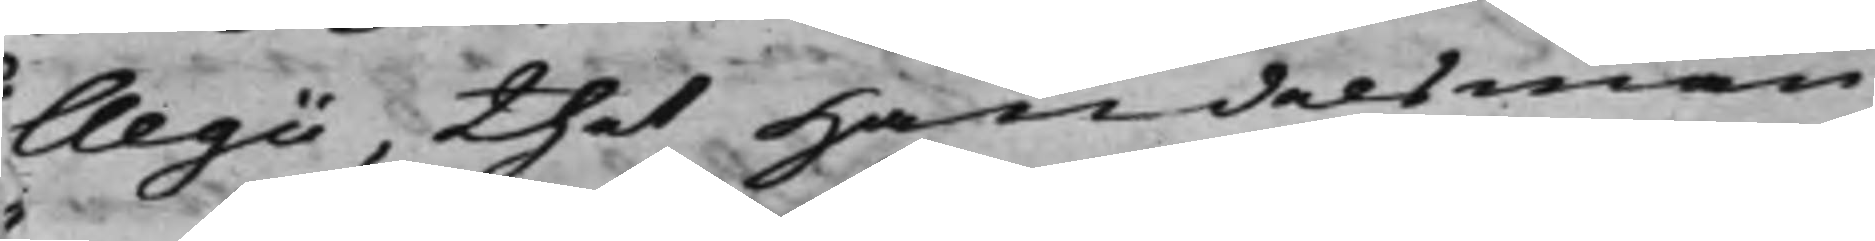llegi, thet Handelsmän¬
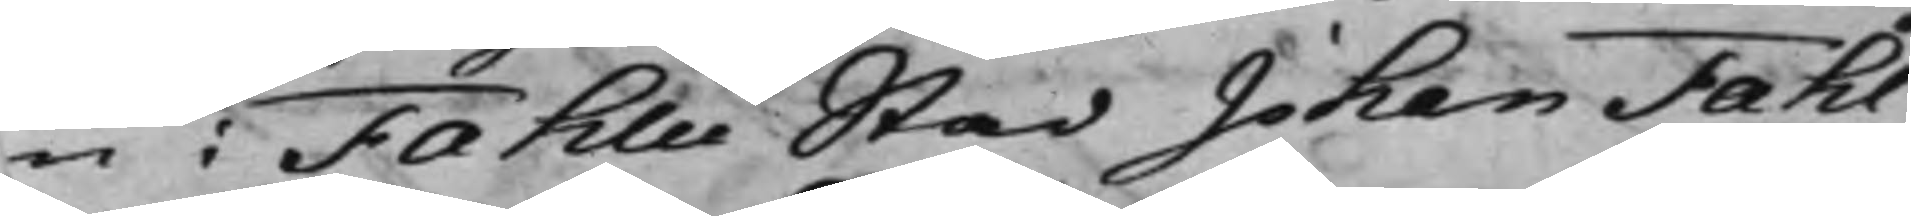en i Fahlu Stad Johan Fahl¬
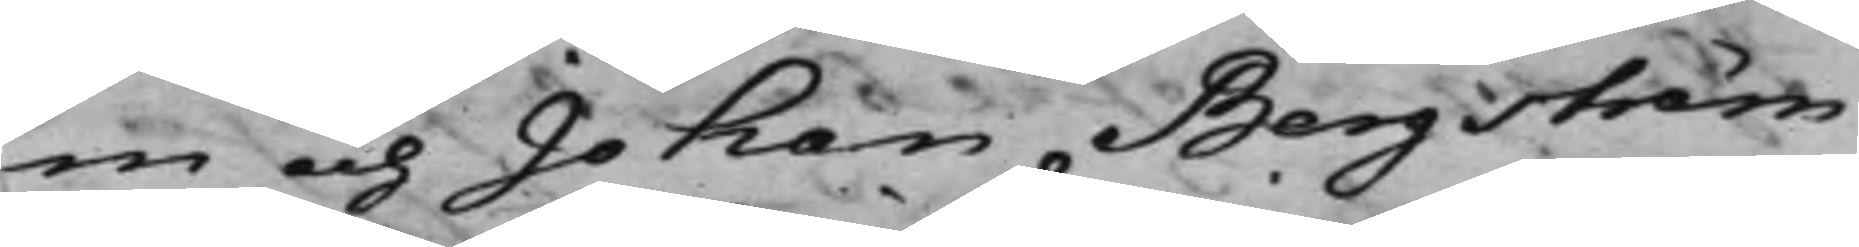m och Johan Bergström
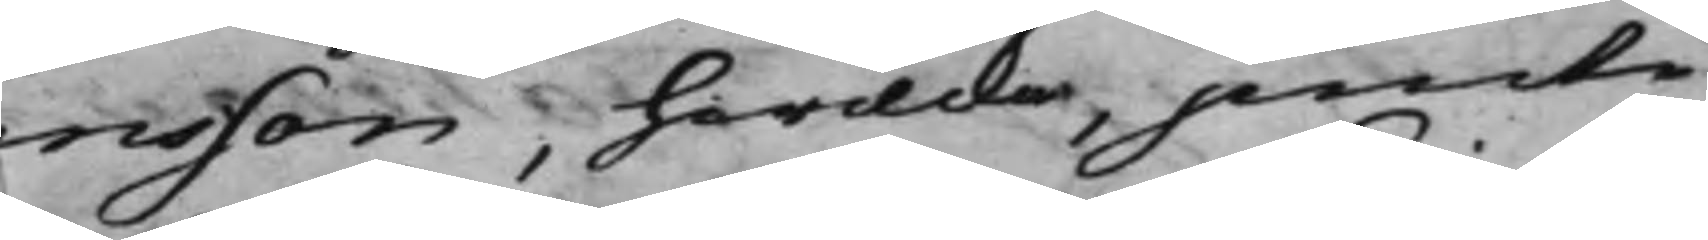nsson, hwilcka, jemte
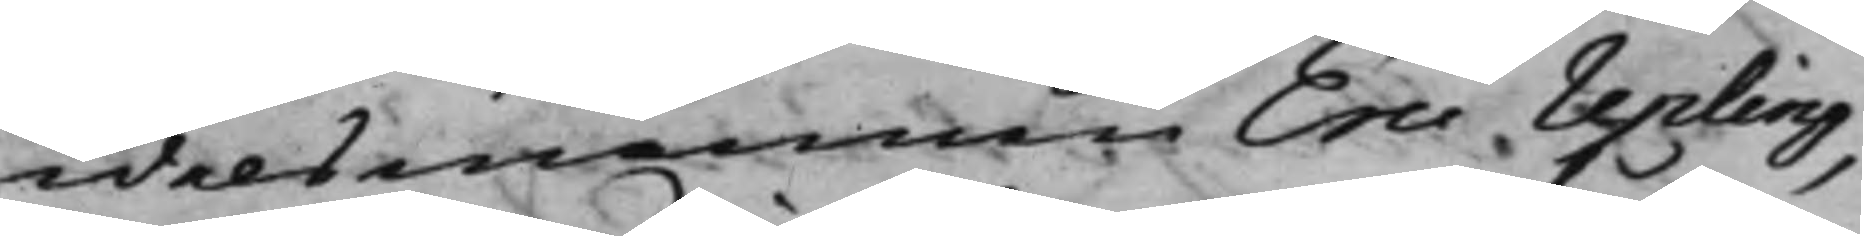ndelsmannen Eric Upling,
